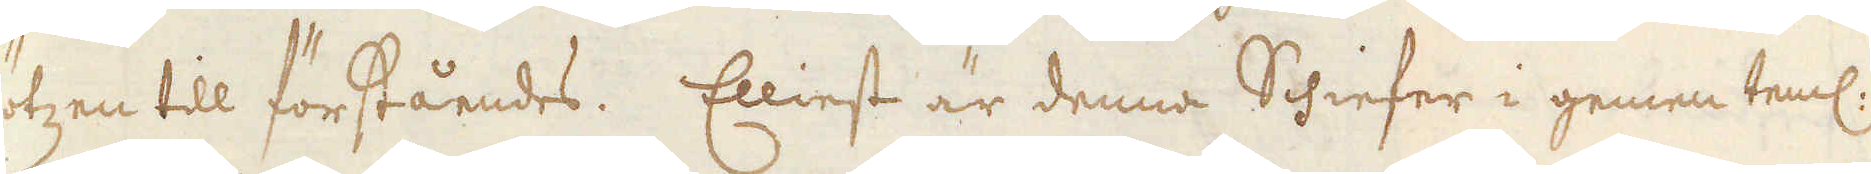flötzen till förståendes. Elliest är denna Schiefer i gemen teml:
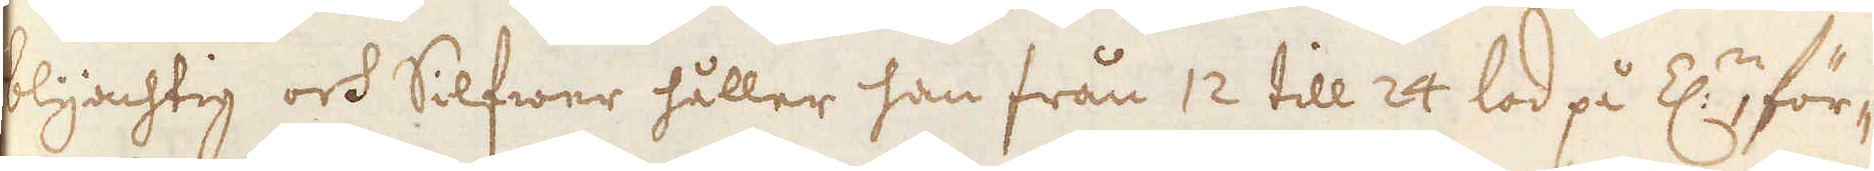blyachtig och Silfwer håller han från 12 till 24 lod på Z:n för-
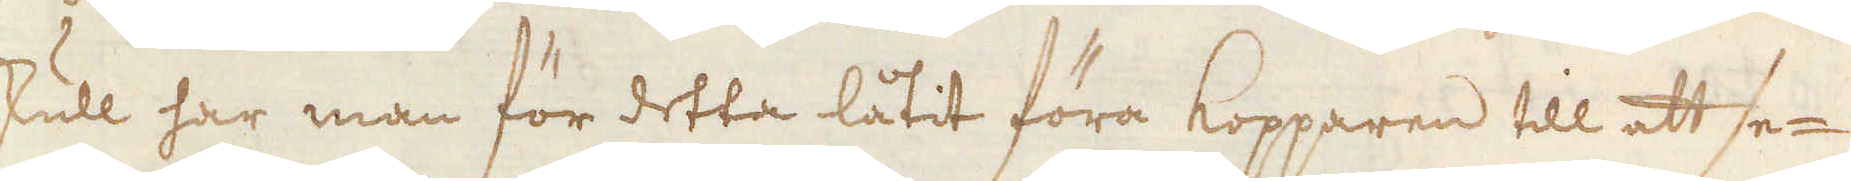denskull har man för detta låtit föra Kopparen till att se-
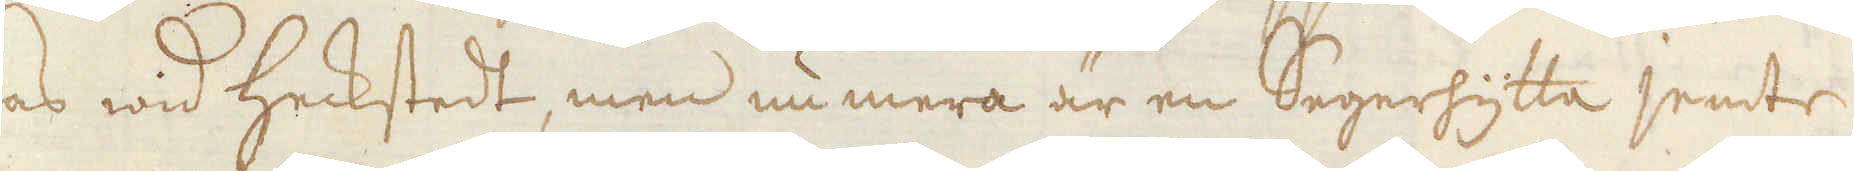gras wid heckstedt, men nu mera är en Segerhytta jemte
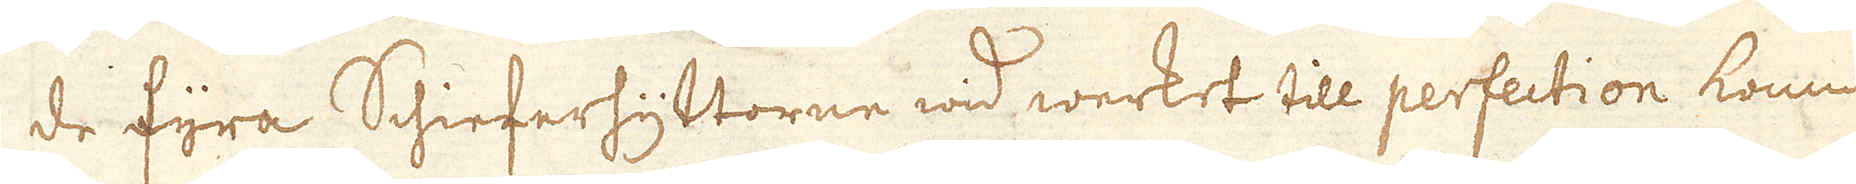de fyra Schieferhyttorne wid werket till perfection komm-
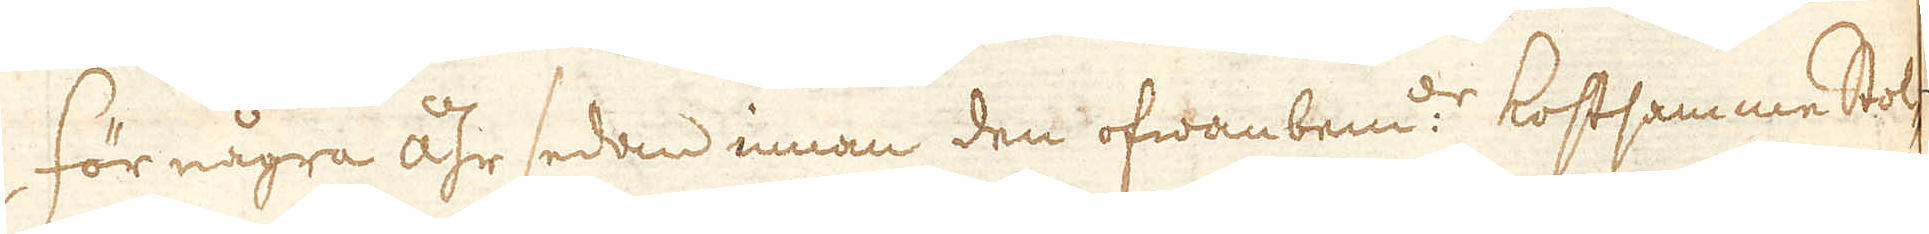För några åhr sedan innan den ofwanbem: kostsamme stol-
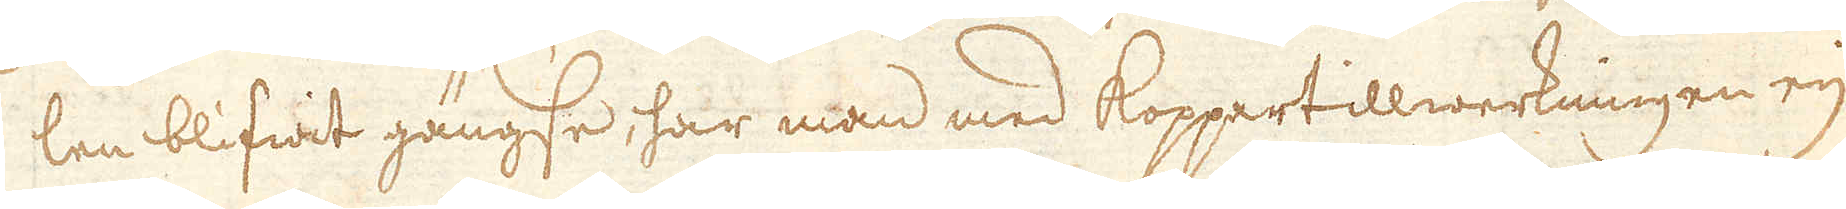len blifwit gängse, har man med Koppertillwerkningen eij
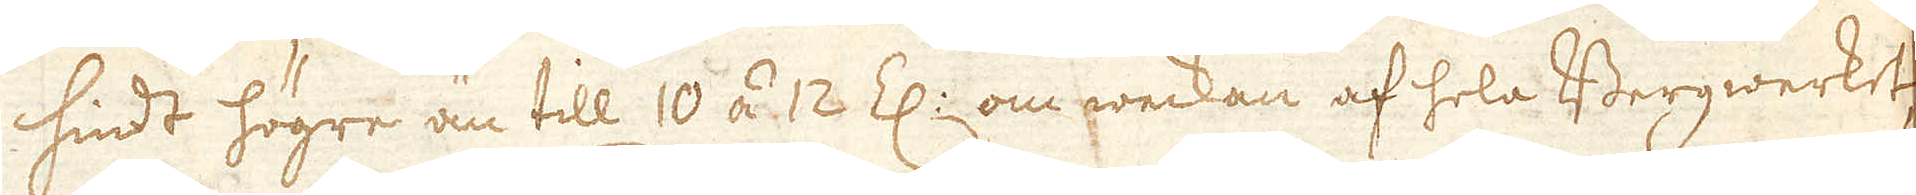hindt högre än till 10 á 12 Z:n om weckan af hela Bergwerket,
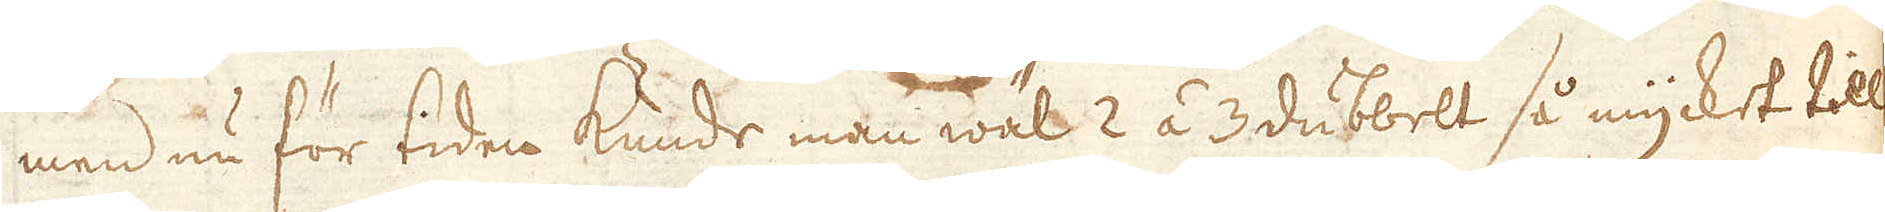men nu för tiden kunde man wäl 2 á 3 dubbelt så mycket till
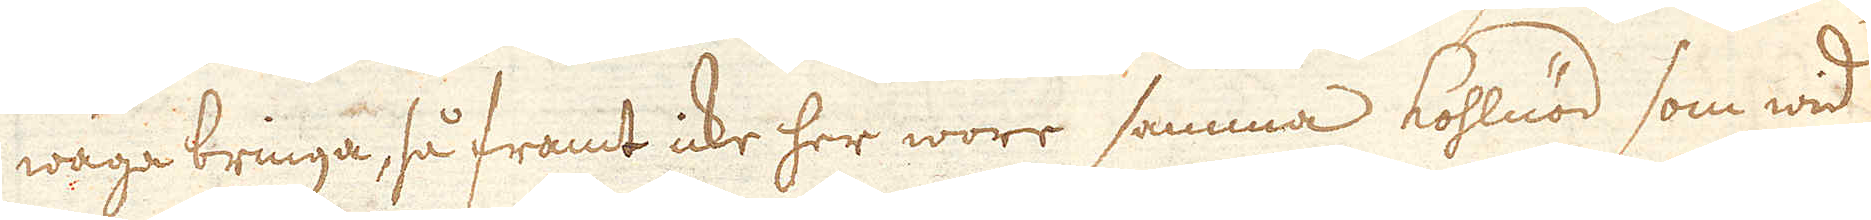wäga bringa, så framt icke her wore samma kohlnöd som wid
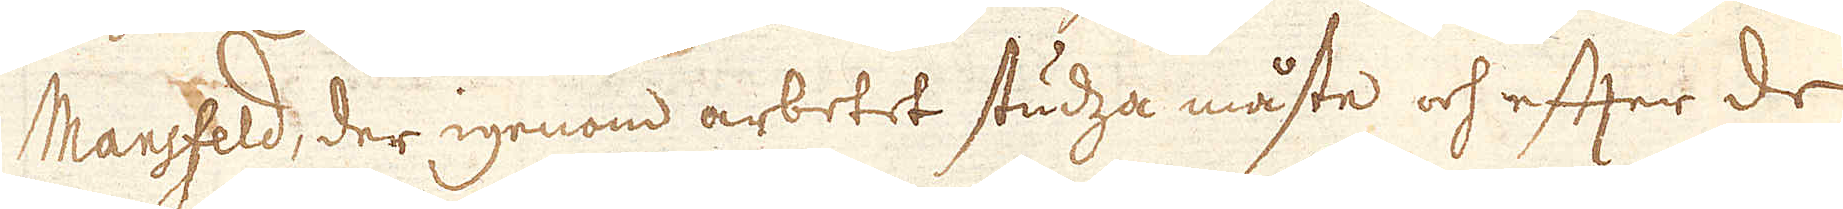Mansfeld, der igenom arbetet studza måste och efter de
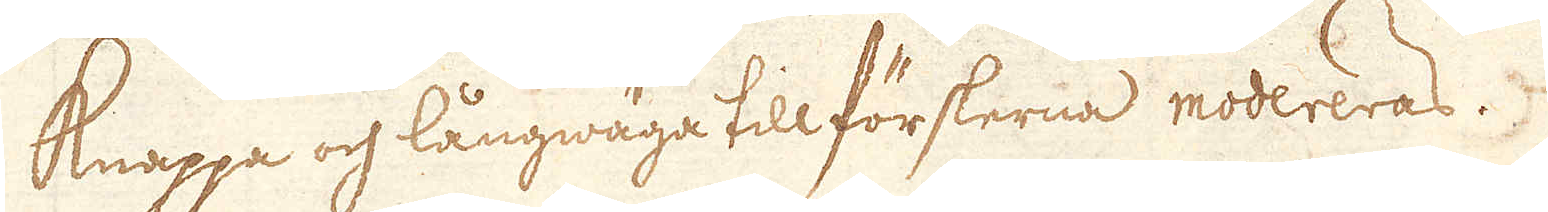Knappa och långwäga till förskerna modereras.
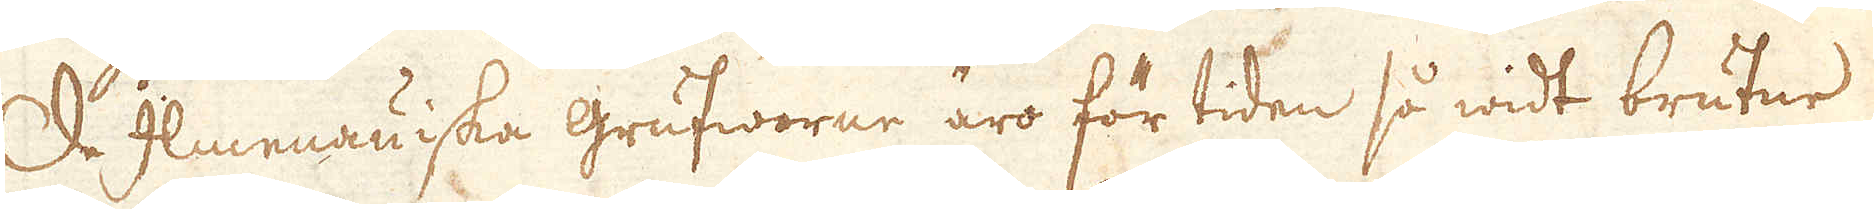De Ilmenauiska Grufworne äro för tiden så widt brutne.
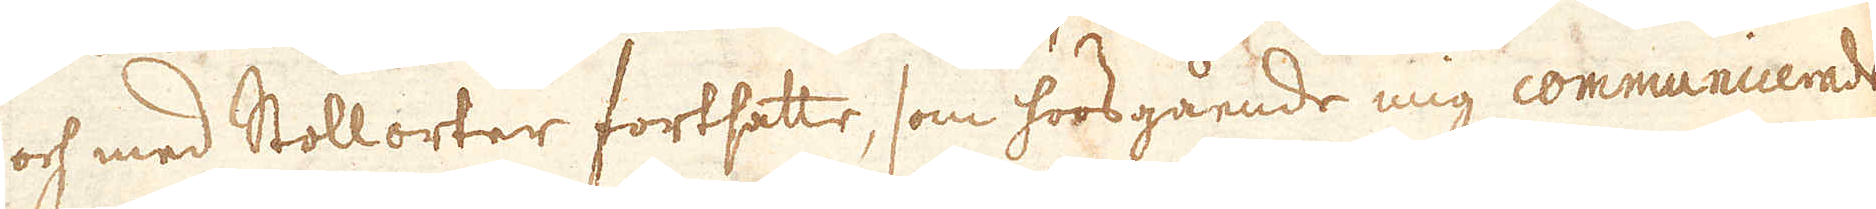och med Stollorter fortsatte, som hoosgående mig communicerade
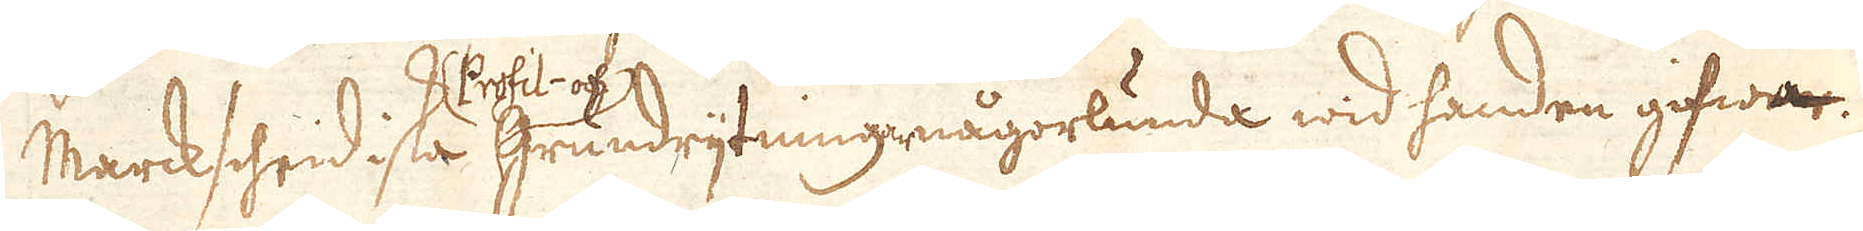Marckshridiska Profil- och grundrijtning någorlunda wid handen gifwer.
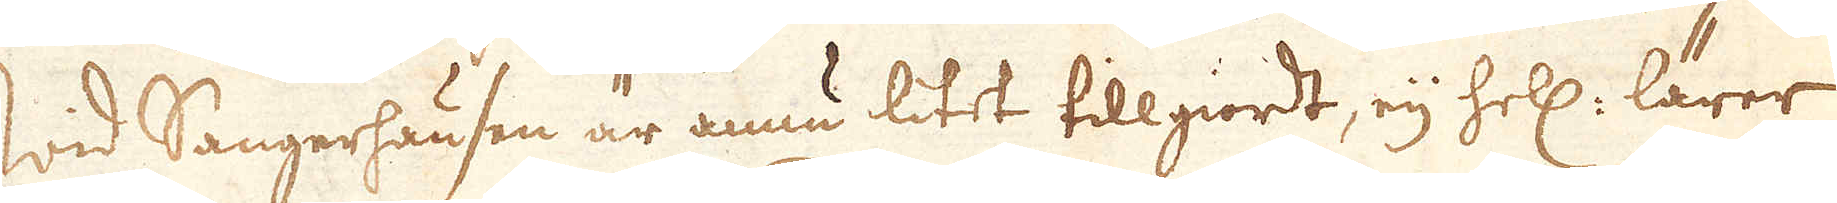wid Sangerhausen är ännu litet tillgiordt, eij hell: lärer
